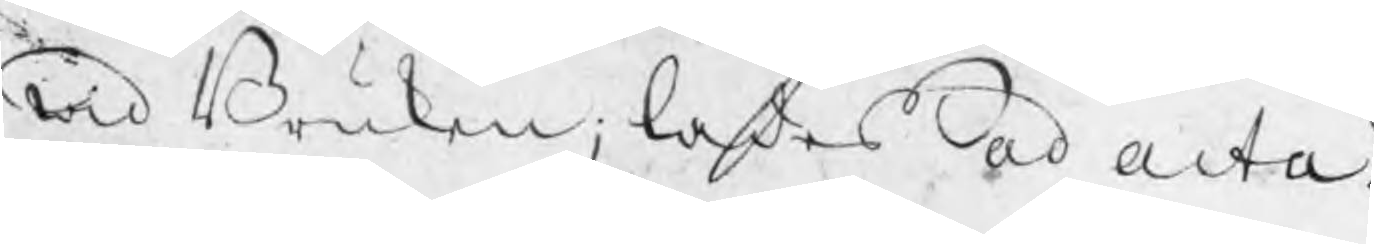wid Bruken, lades ad acta.
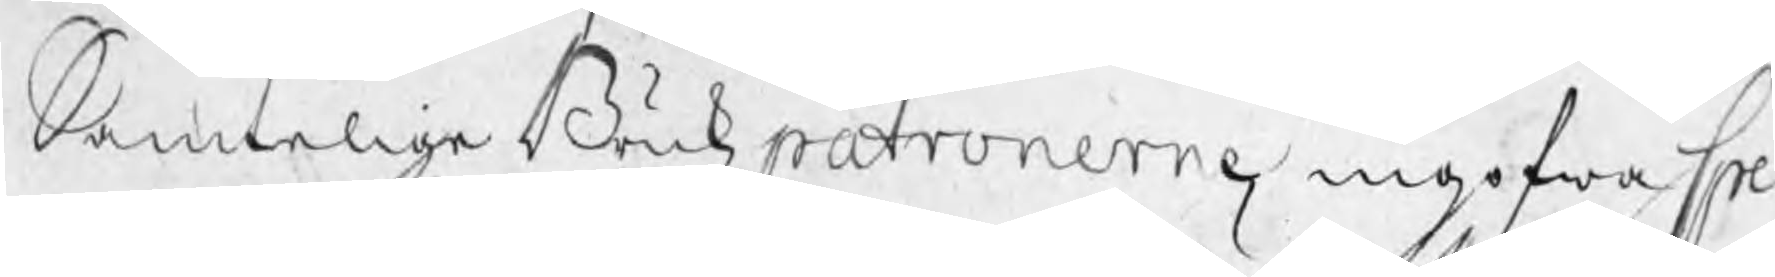Samtelige Brukzpatronerne ingifwa Spe¬
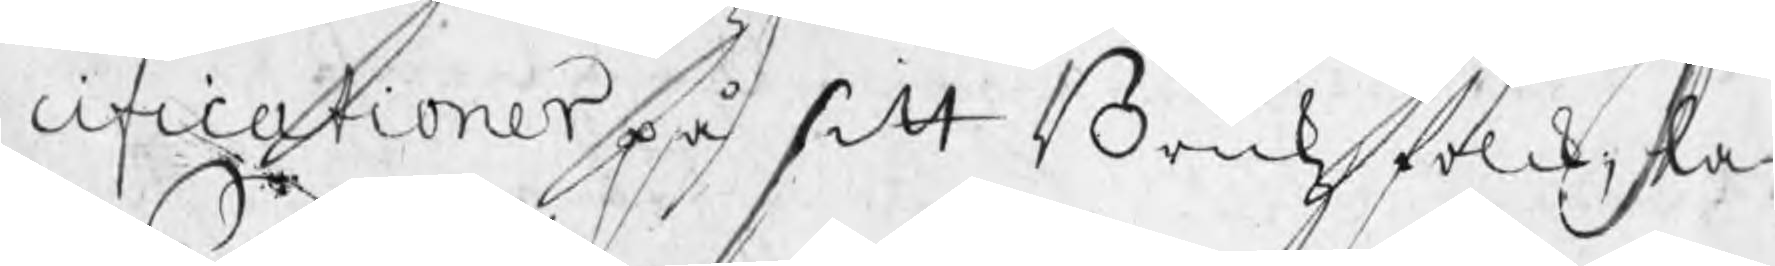cificationer på sitt Brukzfolck, la¬
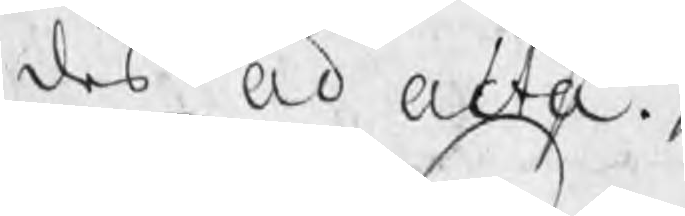des ad acta.
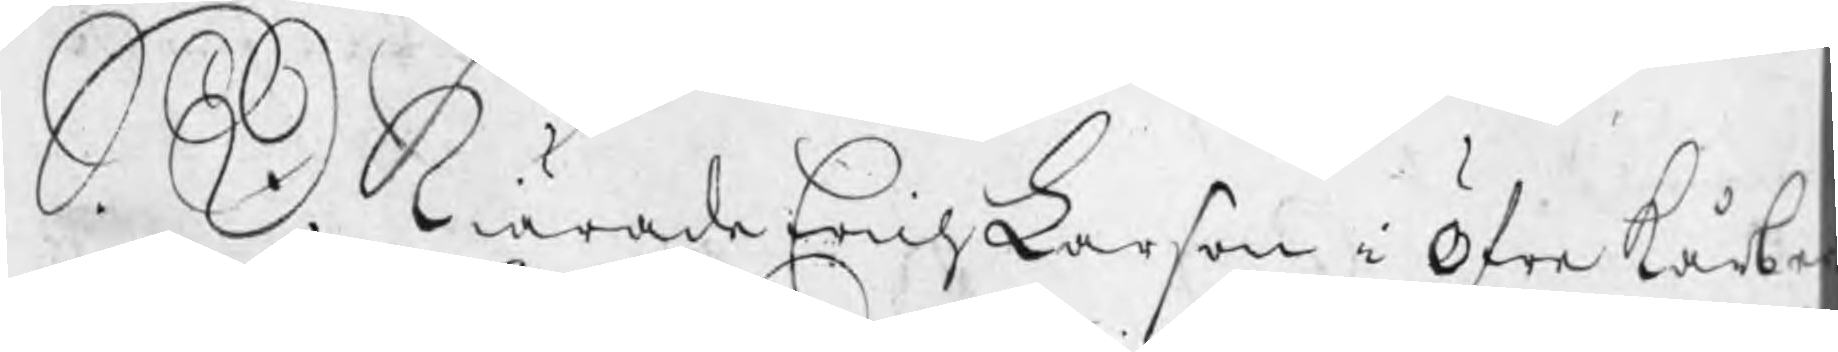S. D. Kiärade Erich Larson i Öfre Kårbe
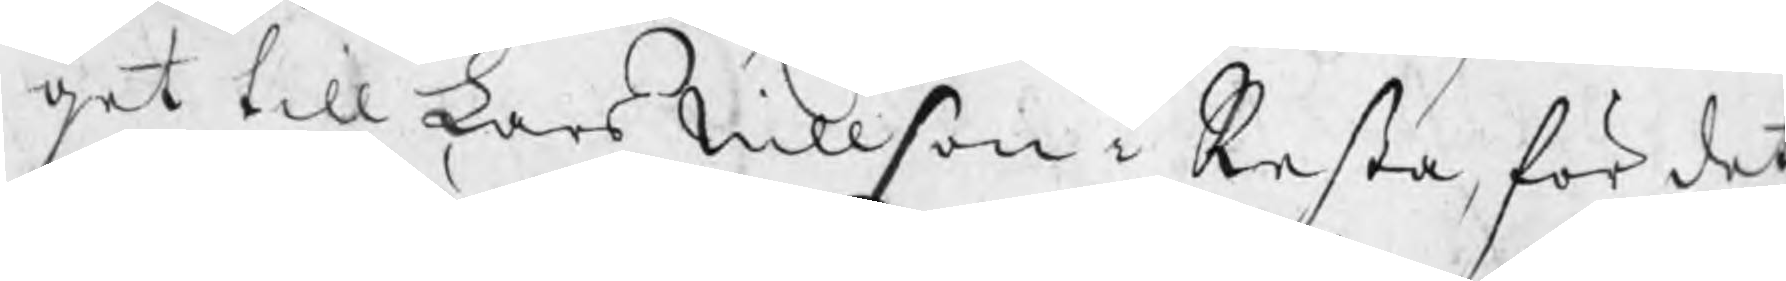get till Lars Nillson i Resta, för det
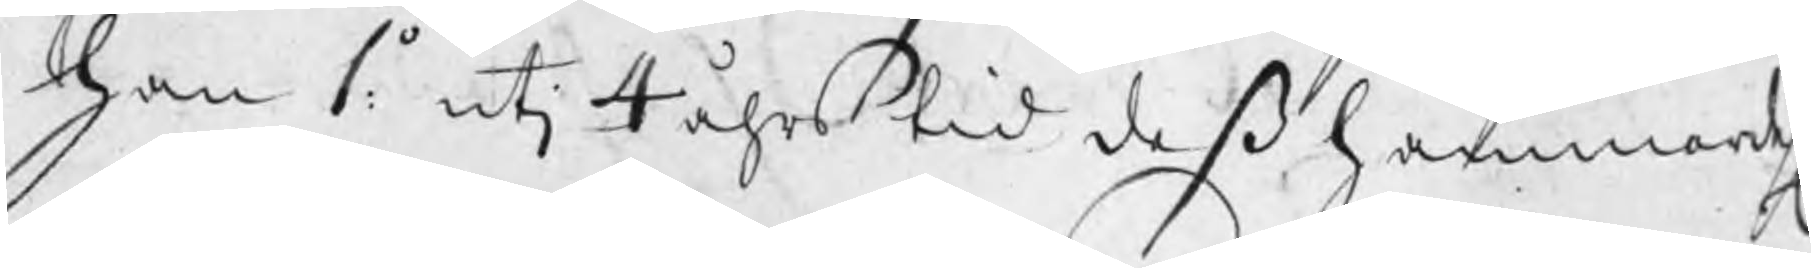han 1:o utj 4 åhrs tid deß hammardehl
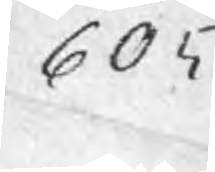605
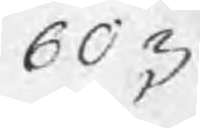603
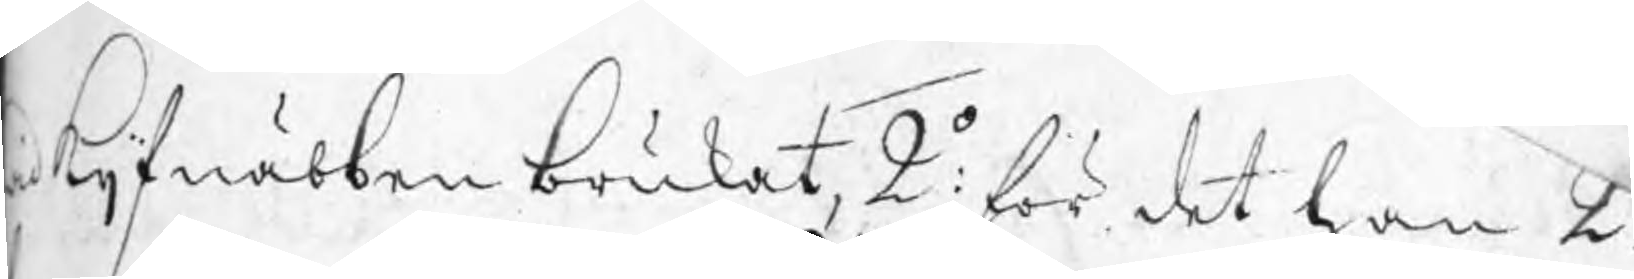id Kijfnäbben brukat, 2:o för det han 2 
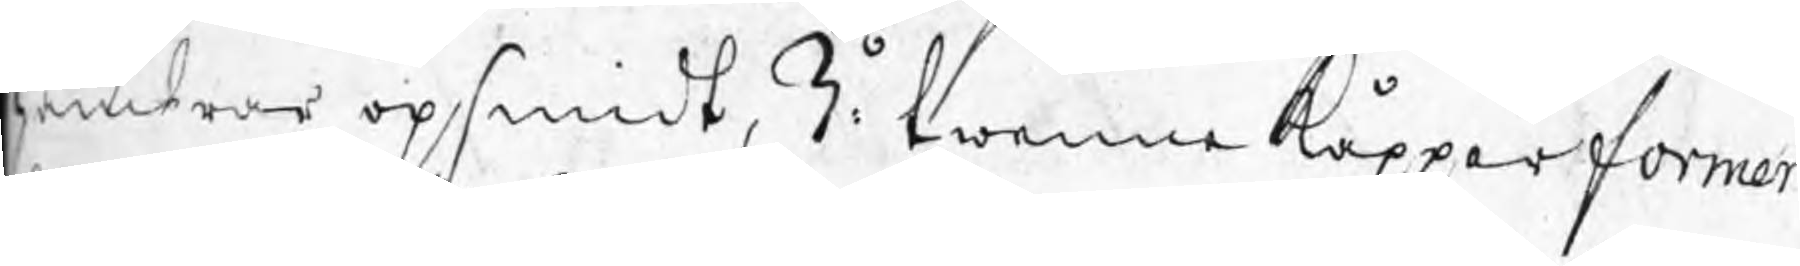hambrar opsmidt, 3:o twenne kåpparformor
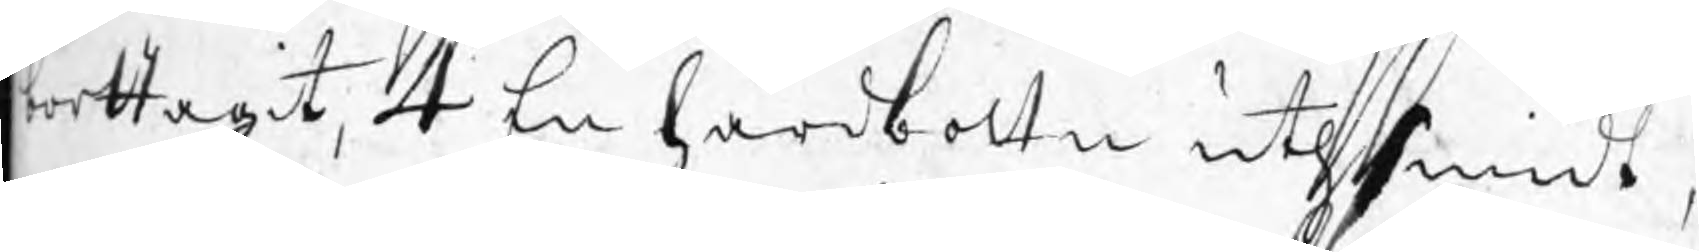borttagit, 4 En härdbottn uthsmidt,
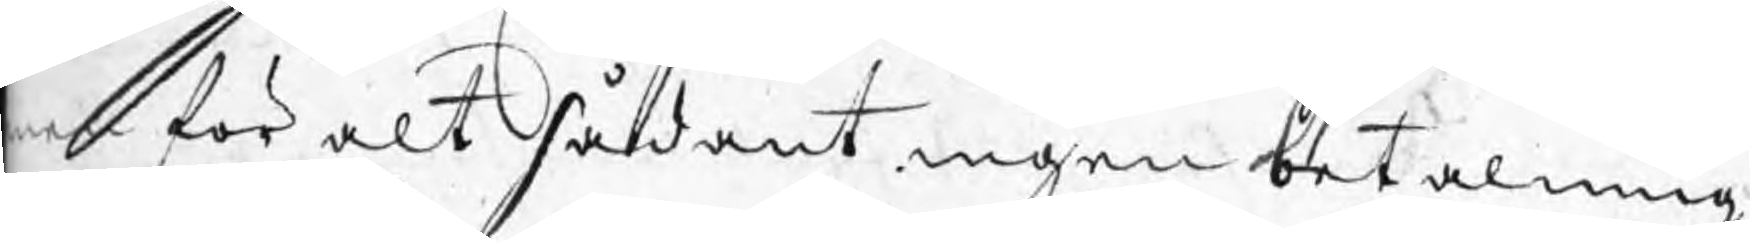men för alt sådant ingen betalning
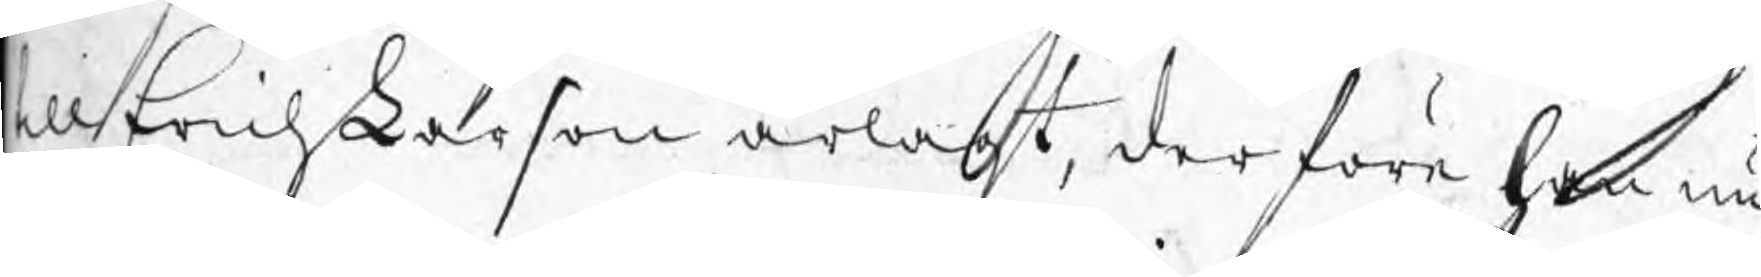till Erich Larson ärlagt, derföre han nu
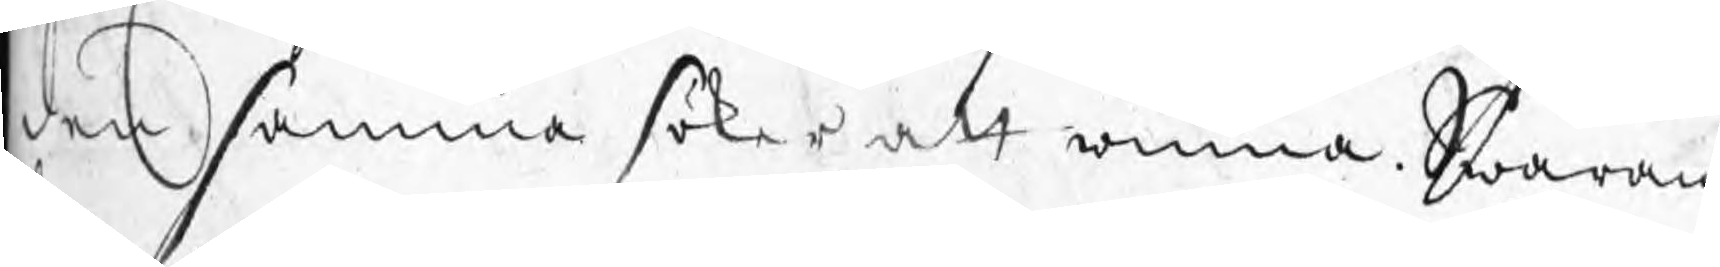den samma söker att winna. Swaran:
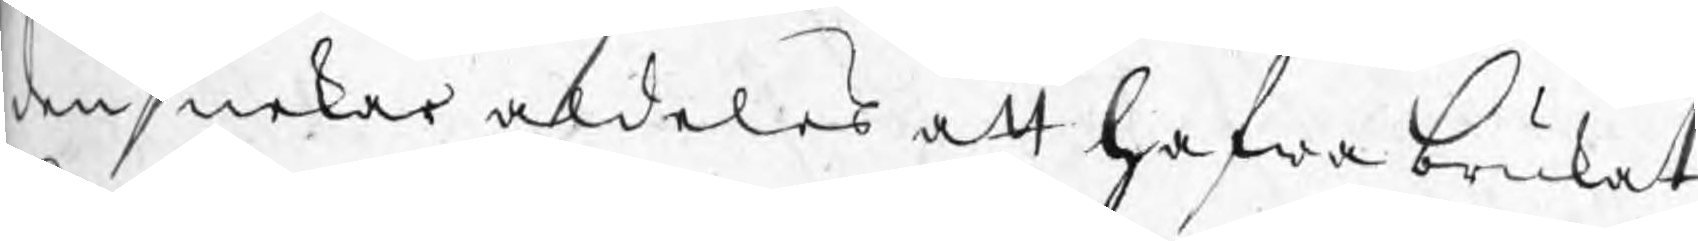den nekar aldeles att hafwa brukat
